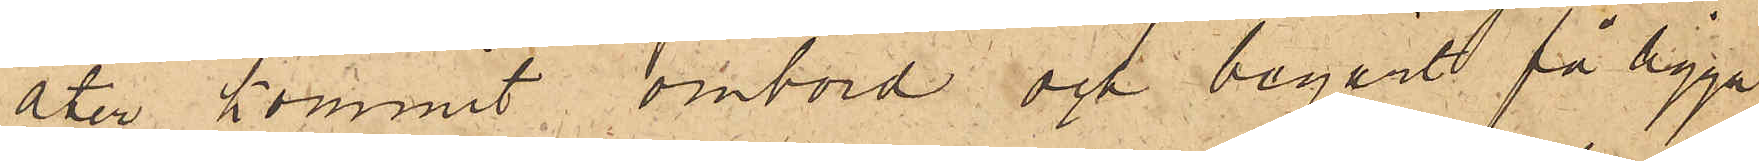åter kommit ombord och begärt få ligga
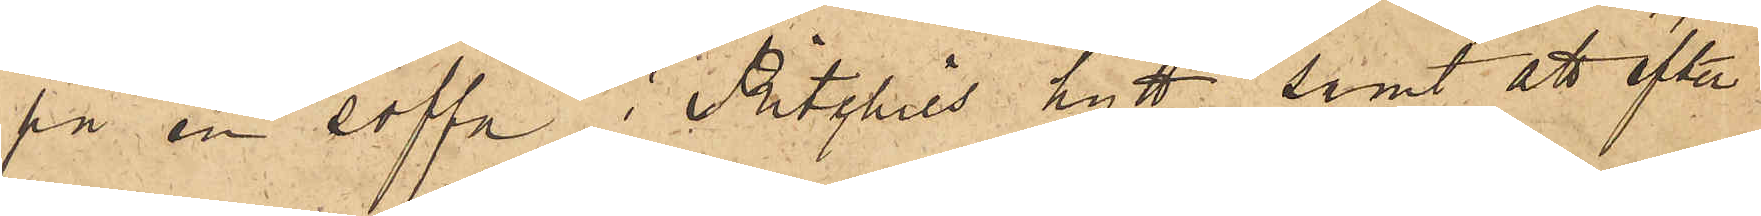på en soffa i Ritchies hytt samt att efter
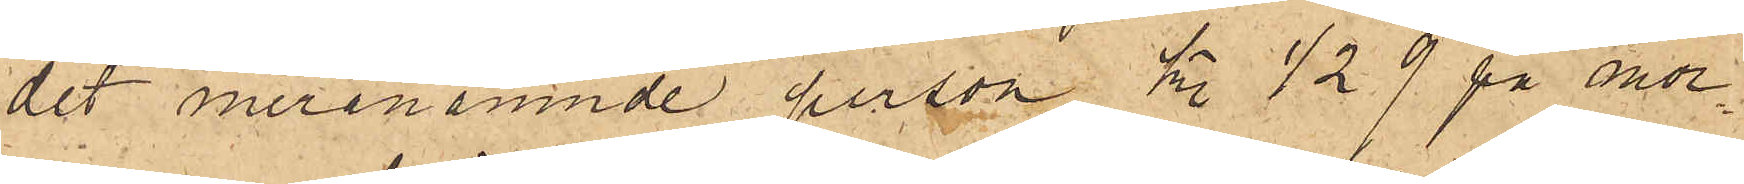det meranämnde person Kl. ½9 på mor¬
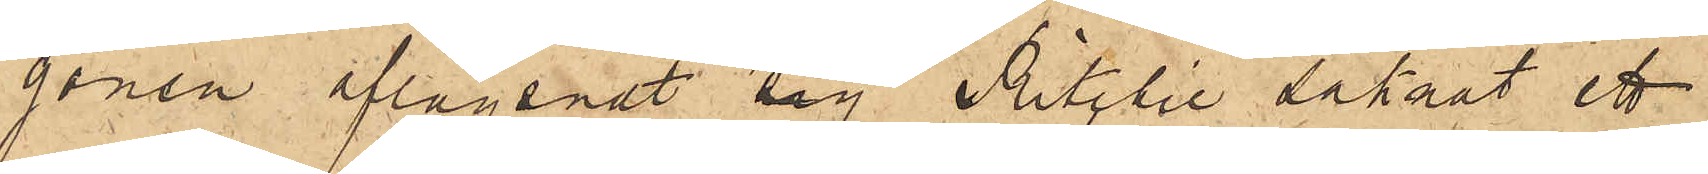gonen aflägsnat sig Ritchtie saknat ett
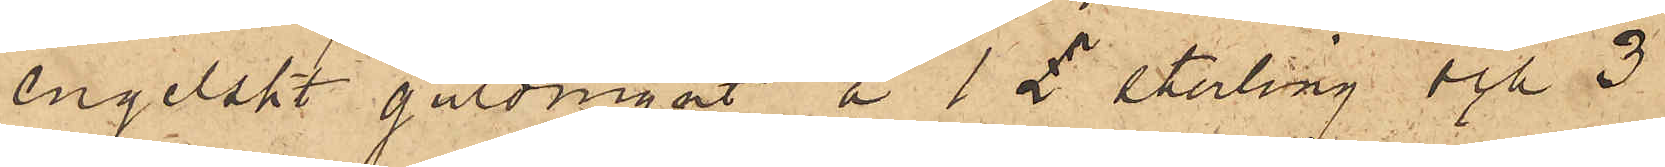engelskt guldmynt a 1£ sterling och 3
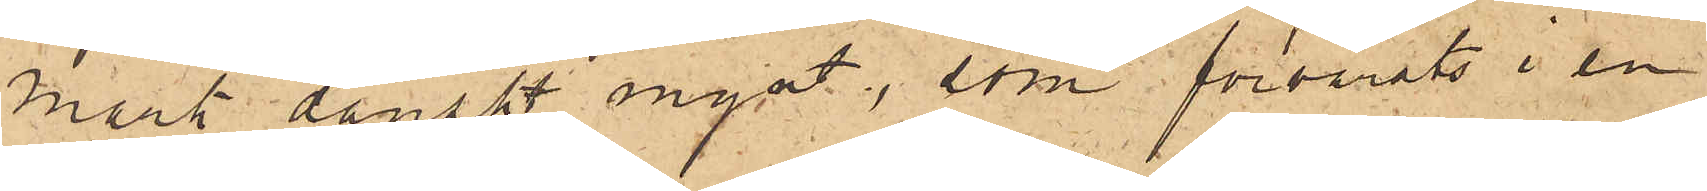mark danskt mynt, som förvarats i en
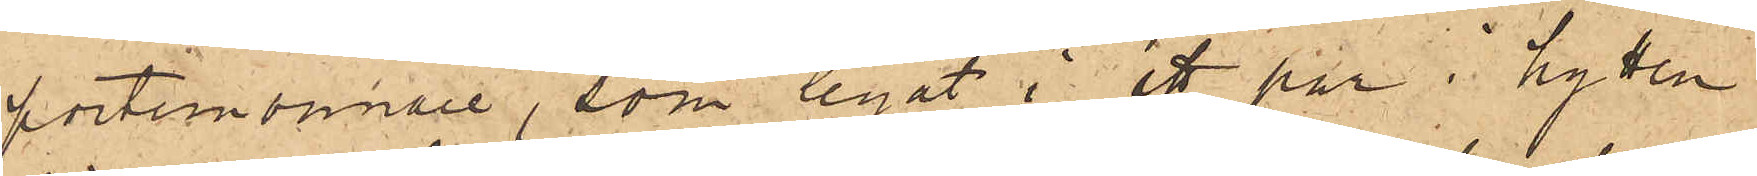portemonnaie, som legat i ett par i hytten
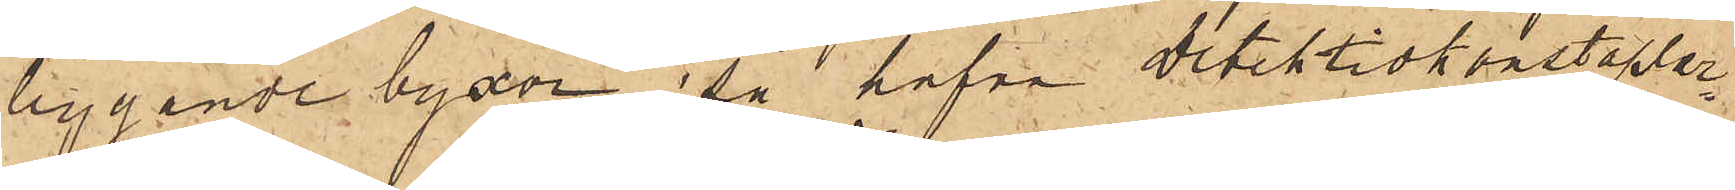liggande byxor; så hafva detektivkonstaplar¬
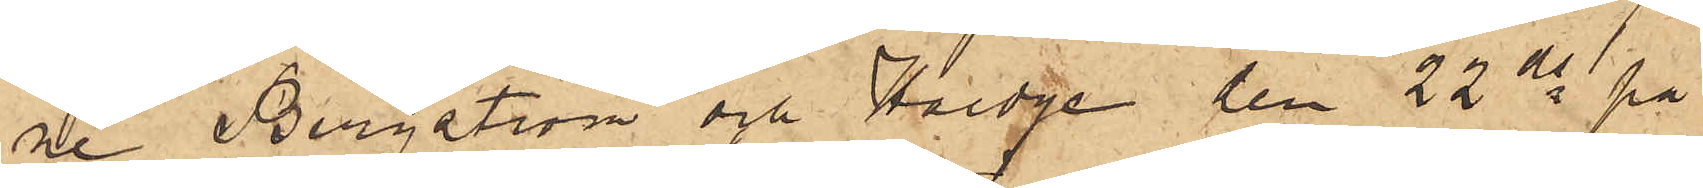ne Bergström och Hedge den 22 ds på
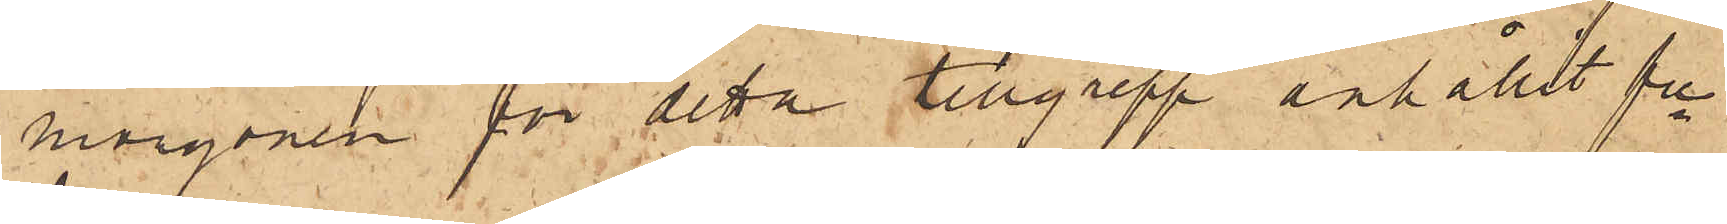morgonen för detta tillgrepp anhållit fre
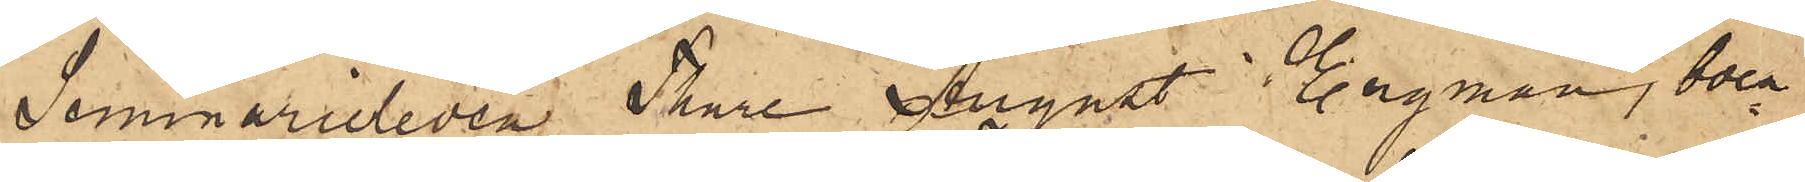Seminaristen Thure August Engman, boen¬
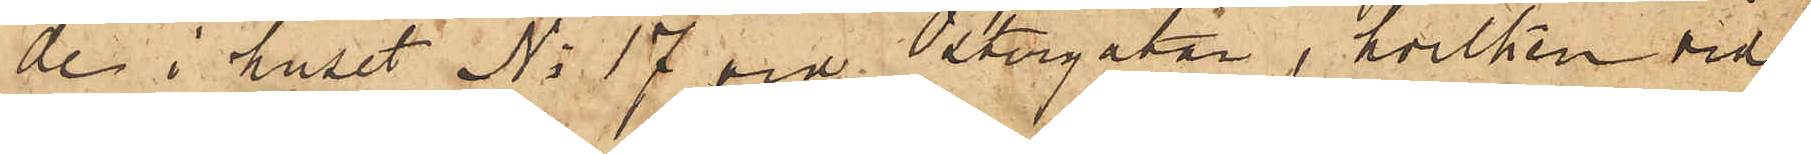de i huset No 17 vid Östergatan, hvilken vid
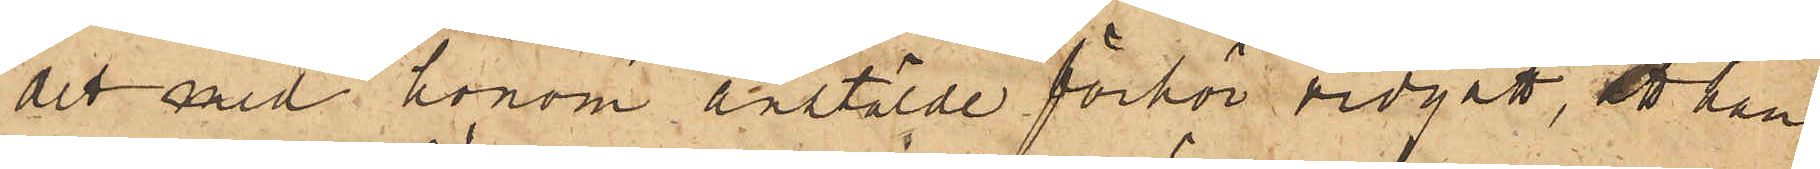det med honom anstälde förhör vidgått, att han
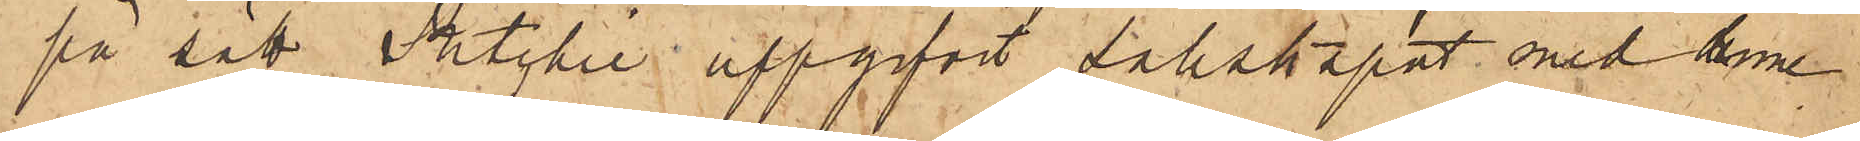på sätt Ritchie uppgifvit sällskapat med honom
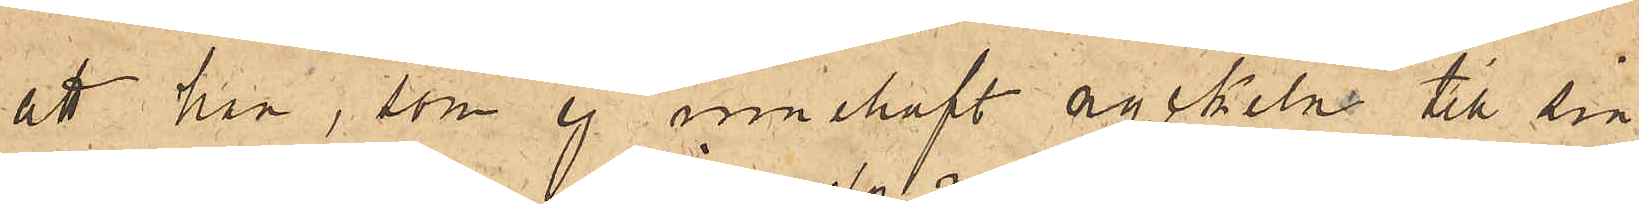att han, som ej innehaft nyckeln till sin
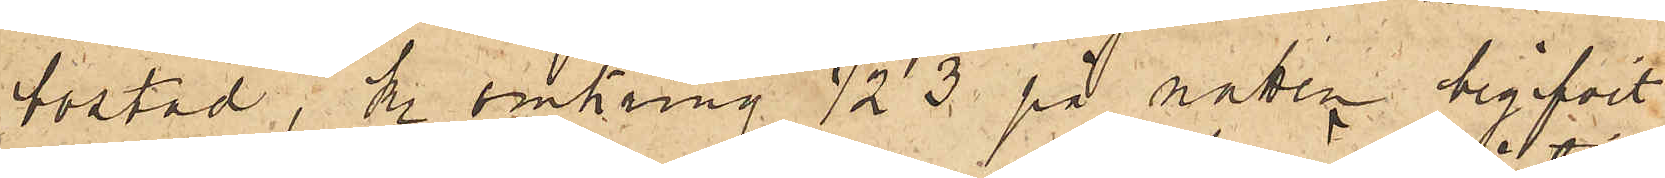bostad, Kl. omkring  ½3 på natten begifvit
